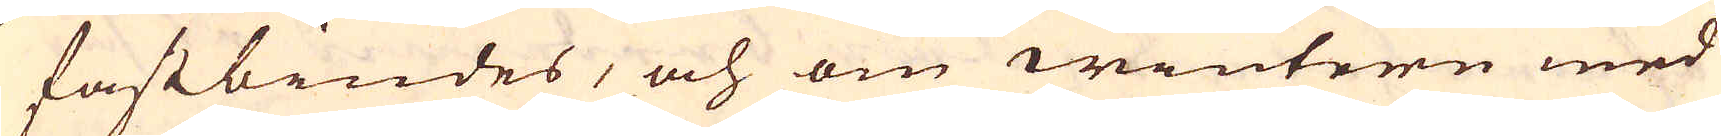fastbindes, och om winteren med
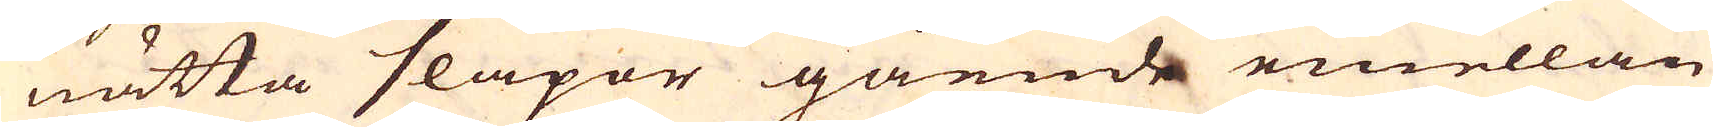nätta släpor gående emellan
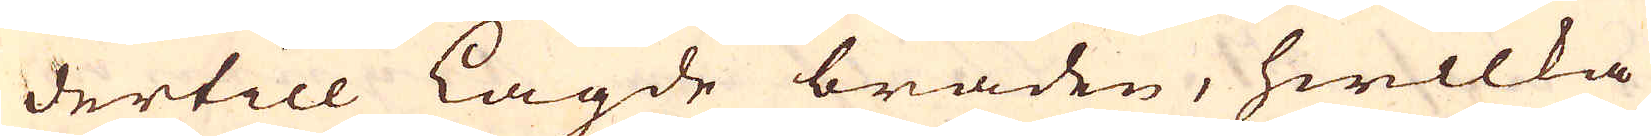dertill lagde bräden, hwilka
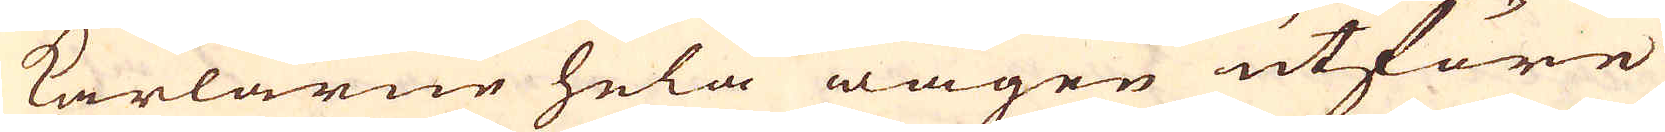karlarne hela wägen utföre
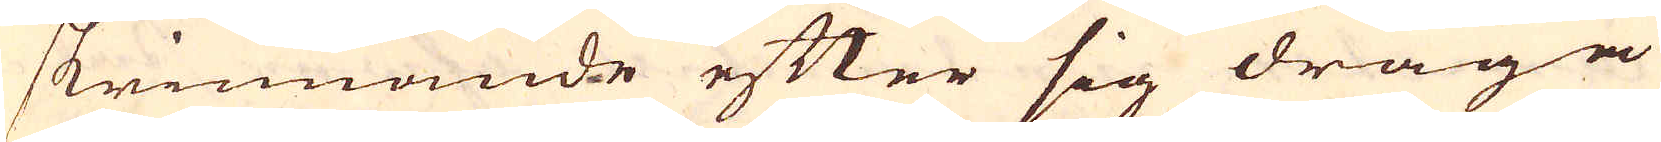skrinnande efter sig draga
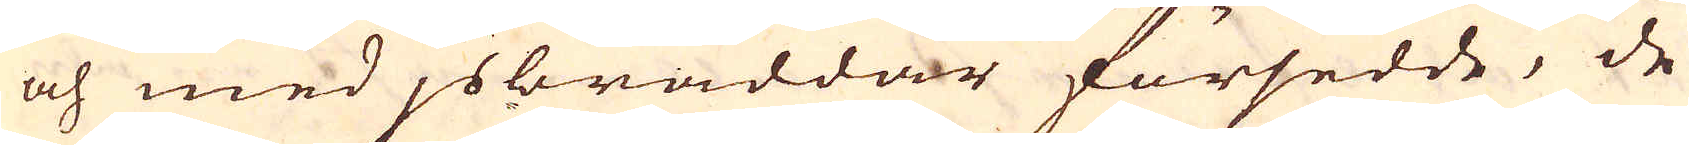och med jsbråddar försedde, de
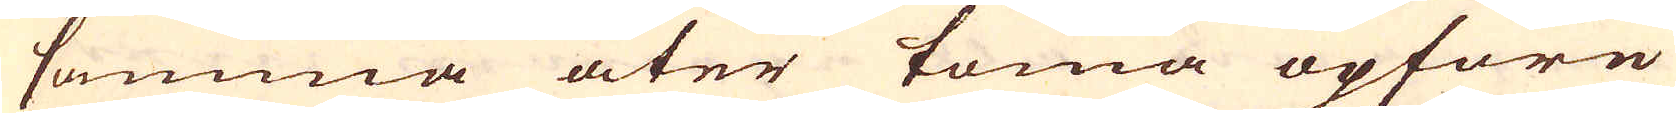samma åter toma opfore
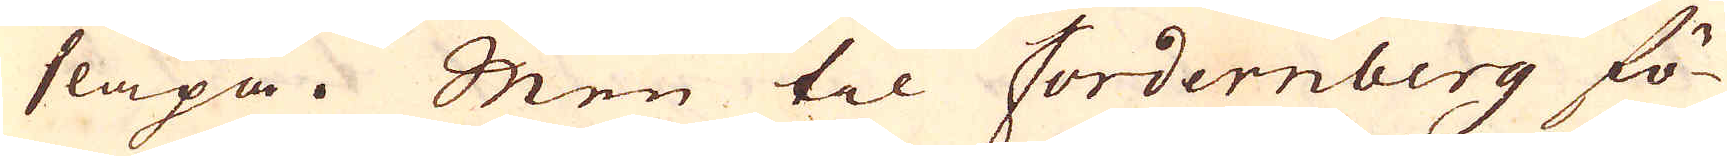släpa. Men til Fordernberg fö-
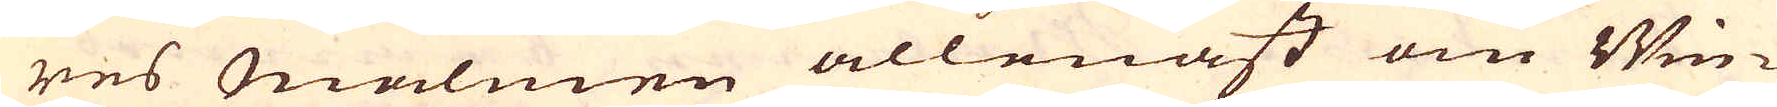res Malmen allenast om Win-
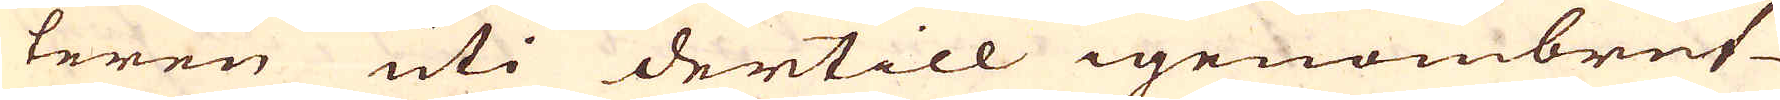teren uti dertill igenombrut-
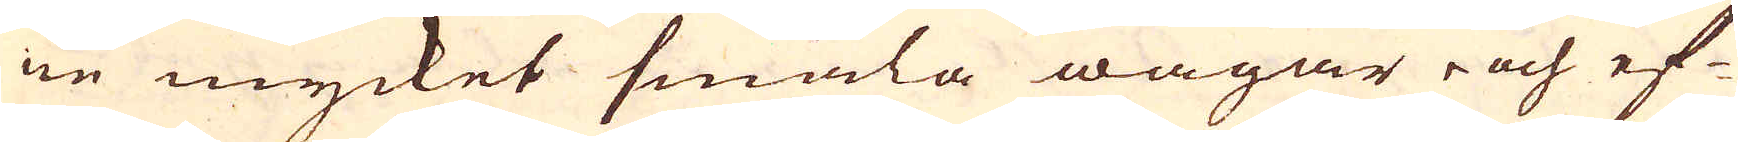ne mycket smala wägar i och ef-
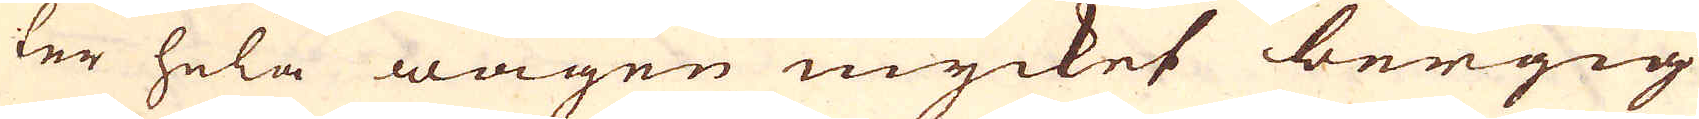ler hela wägen mycket bergig
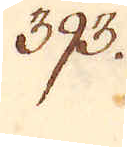393.
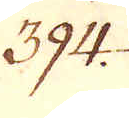394.
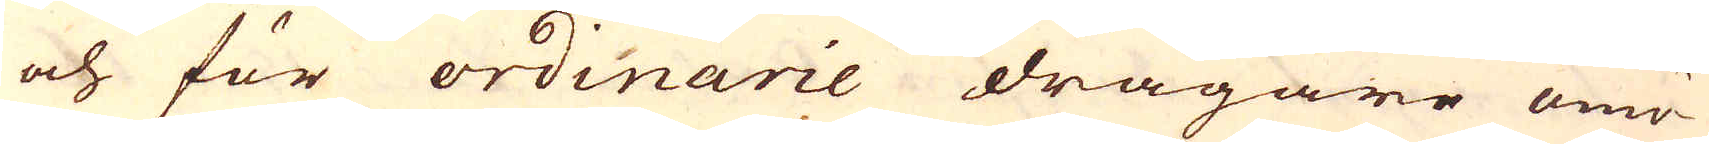och för ordinarie dragare omö-
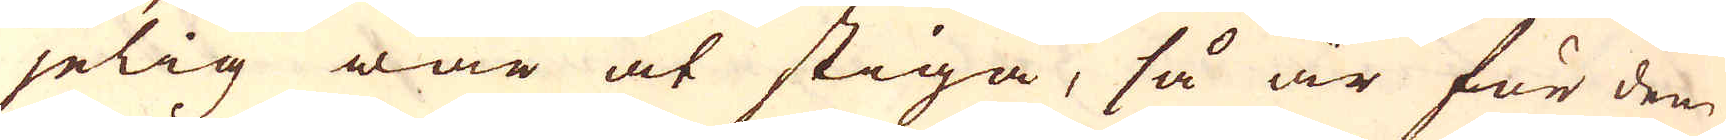jelig war at stiga, så är för dem
